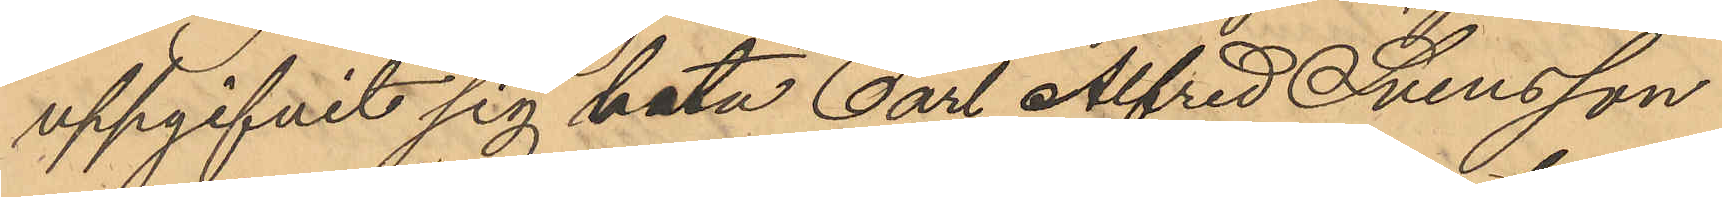uppgifvit sig heta Carl Alfred Svensson
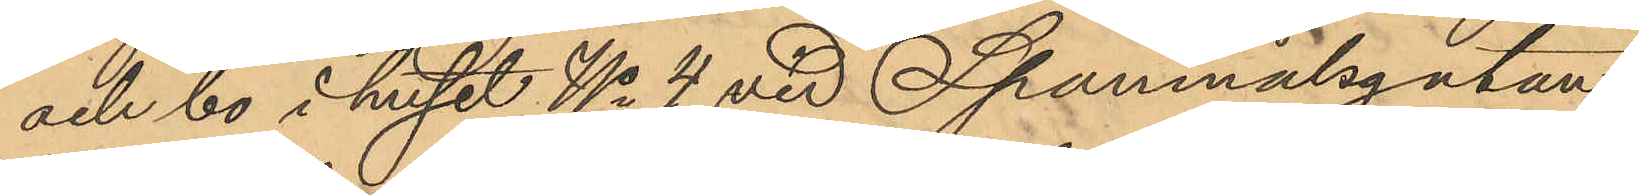och bo i huset No 4 vid Spannmålsgatan,
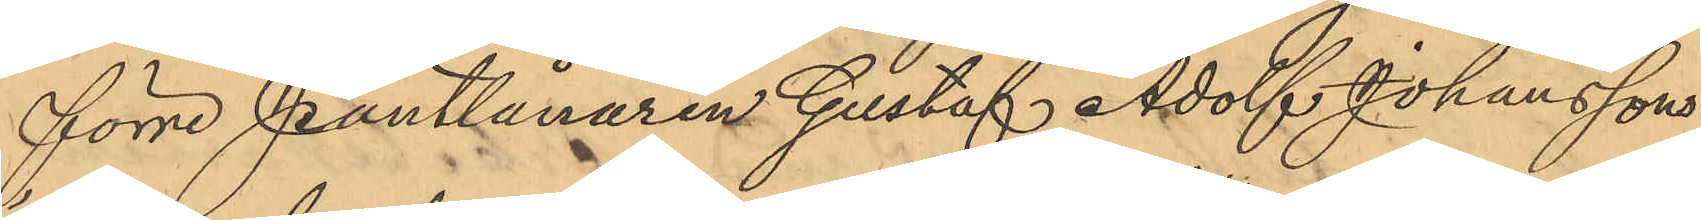förre Pantlånaren Gustaf Adolf Johanssons
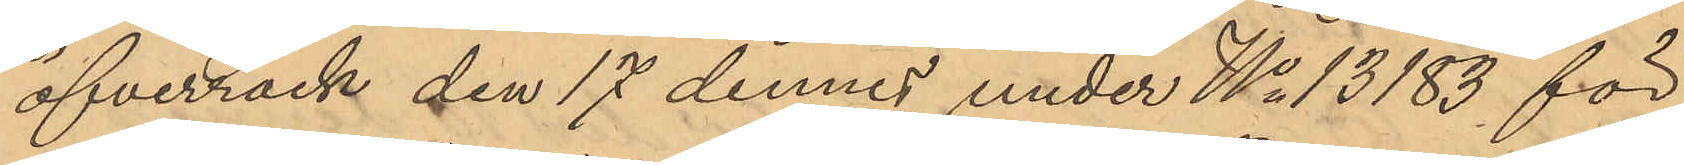öfverrock den 17 dennes under No 13183 för
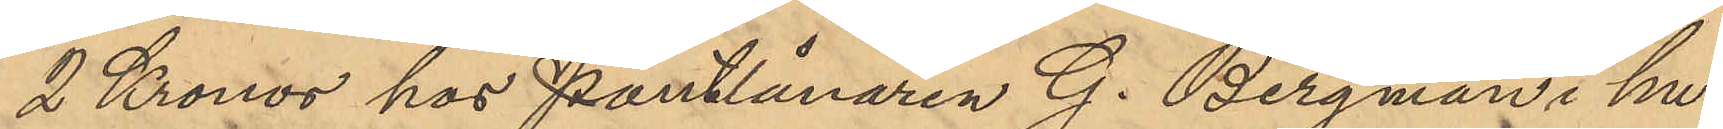2 Kronor hos Pantlånaren G. Bergman i hu¬
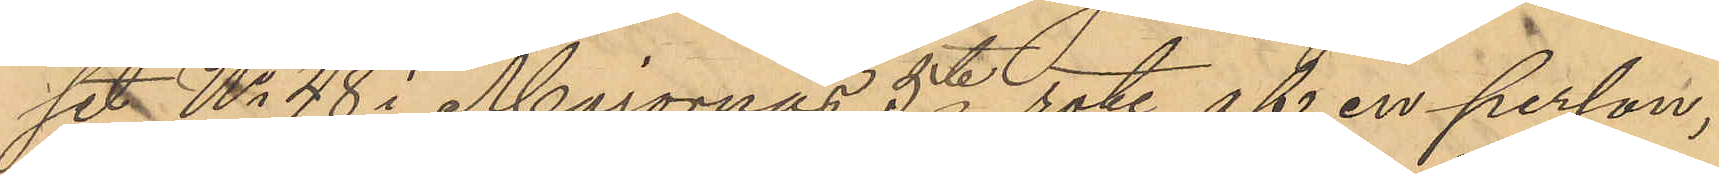set No 48 i Majornas 5te rote af en person,
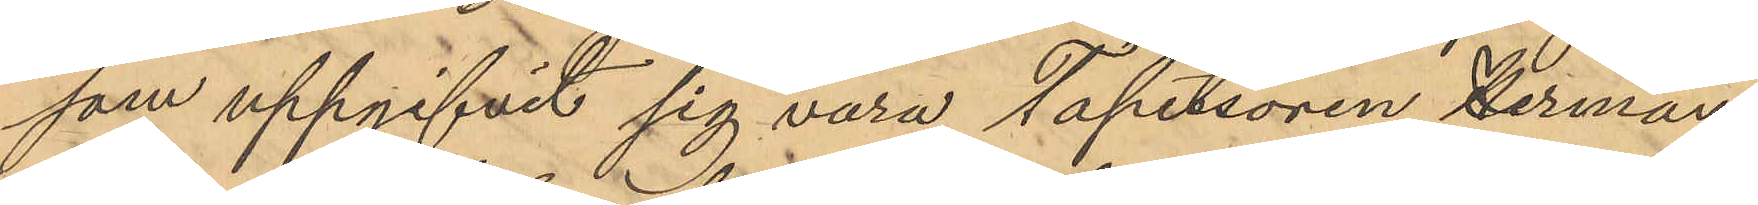som uppgifvit sig vara Tapetsören Herman
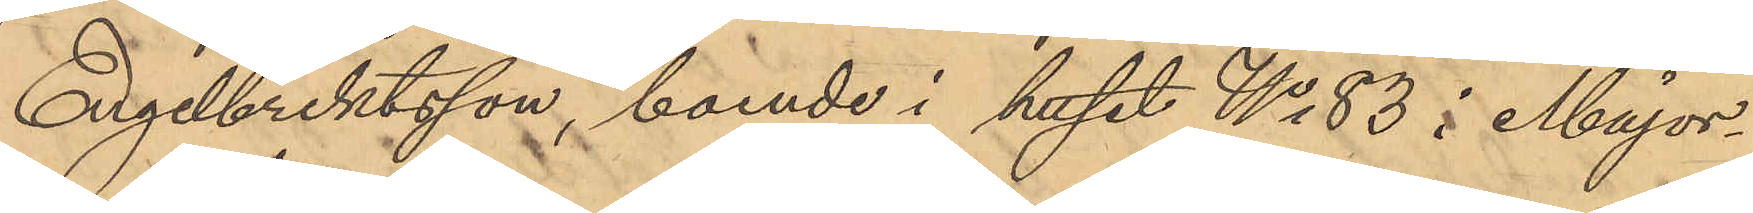Engelbrektsson, boende i huset No 83 i Major¬
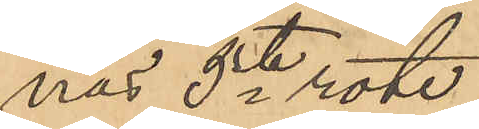nas 5te rote.
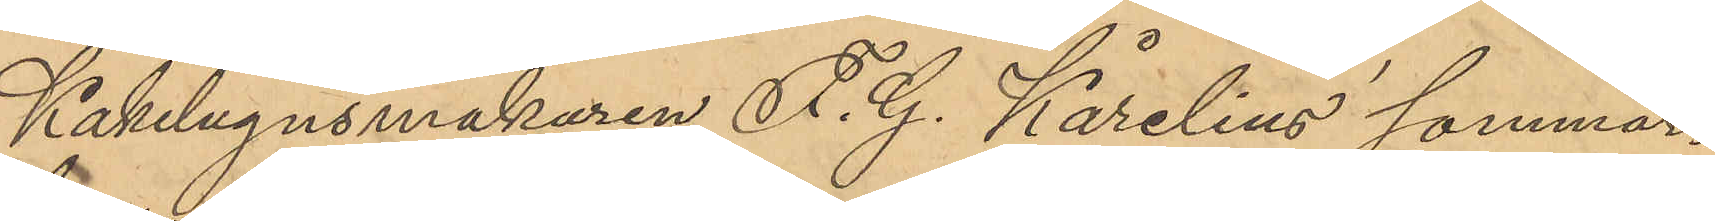Kakelugnsmakaren F. G. Karelius sommar¬
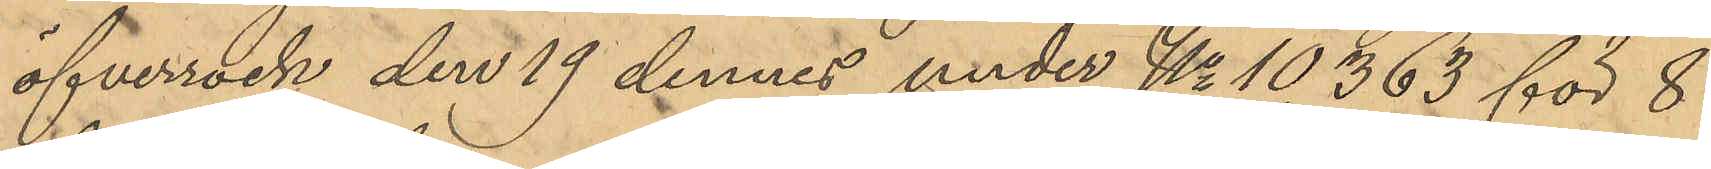öfverrock den 19 dennes under No 10363 för 8
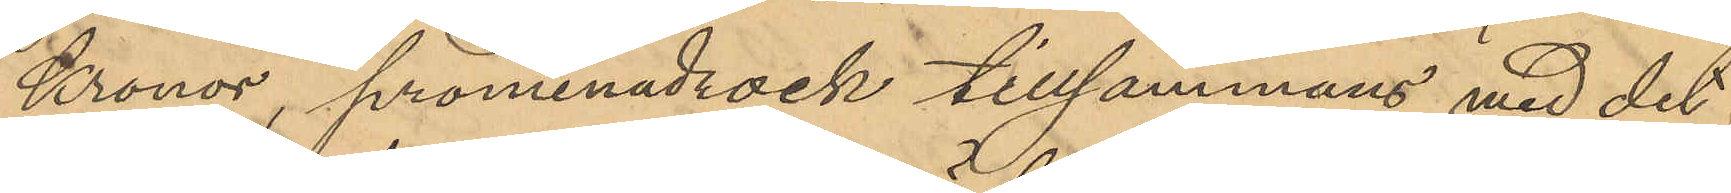Kronor, promenadrock tillsammans med det
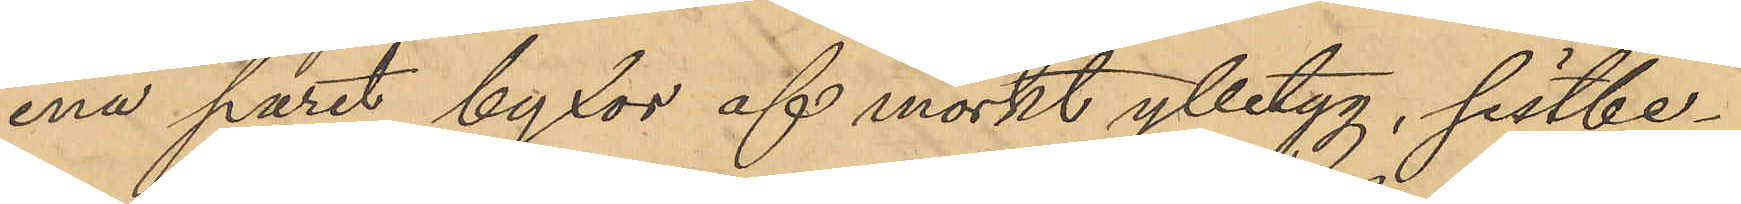ena paret byxor af mörkt ylletyg, sistbe¬
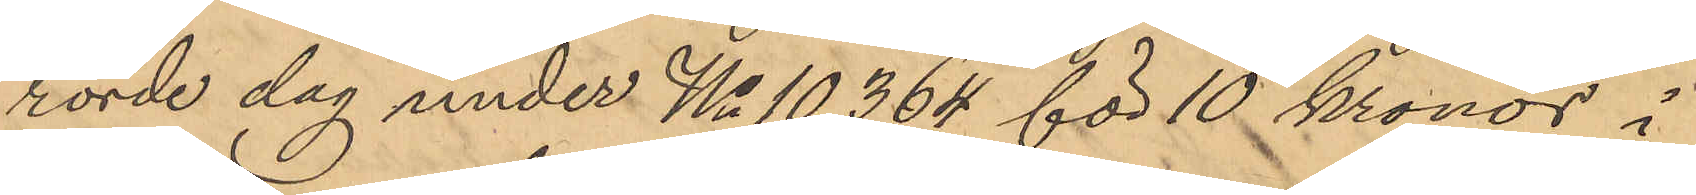rörde dag under No 10364 för 10 kronor i
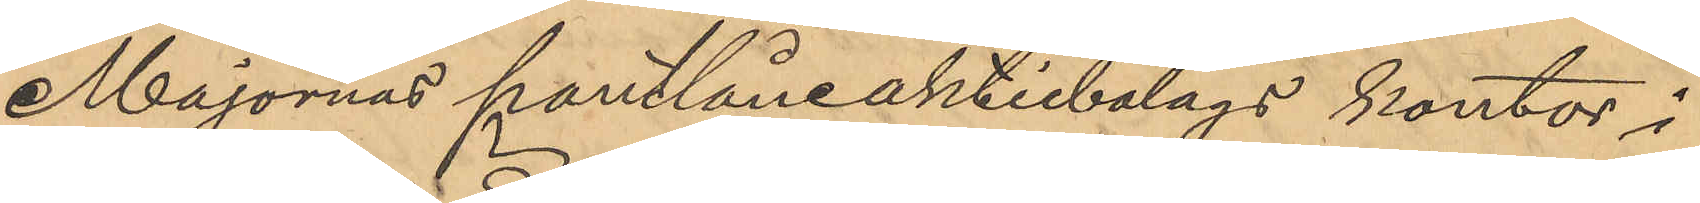Majornas pantlåneaktiebolags kontor i
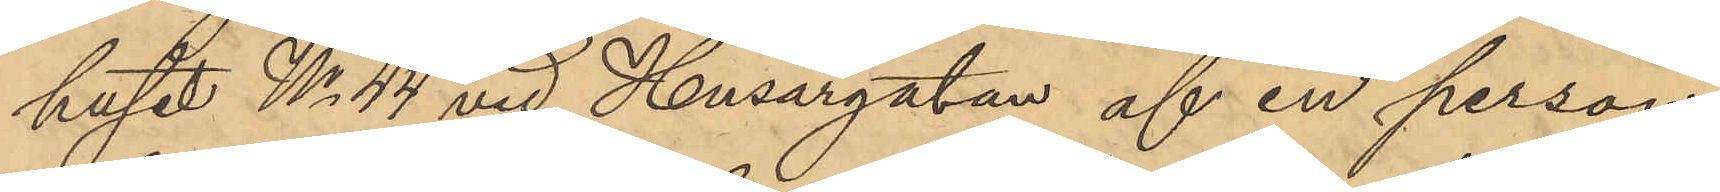huset No 44 vid Husargatan af en person
